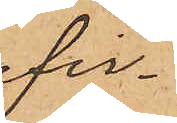fir¬
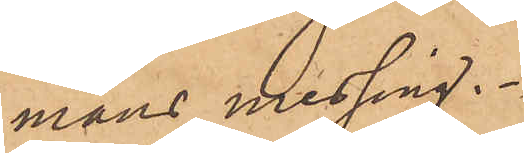mans messing.
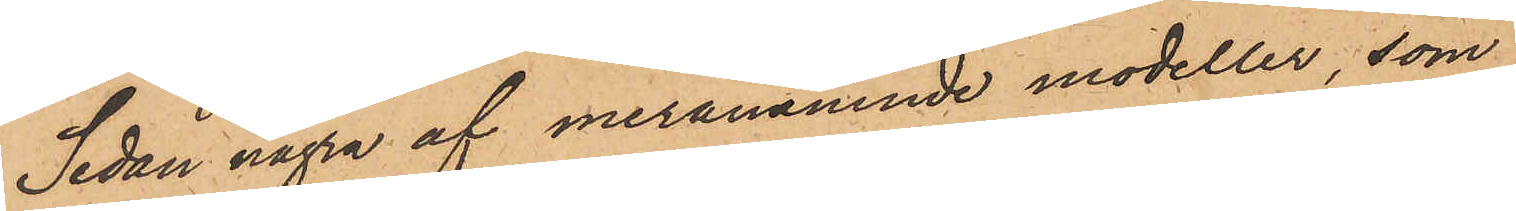Sedan några af meranämnde modeller, som
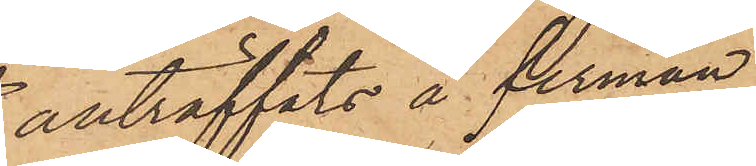anträffats å firman
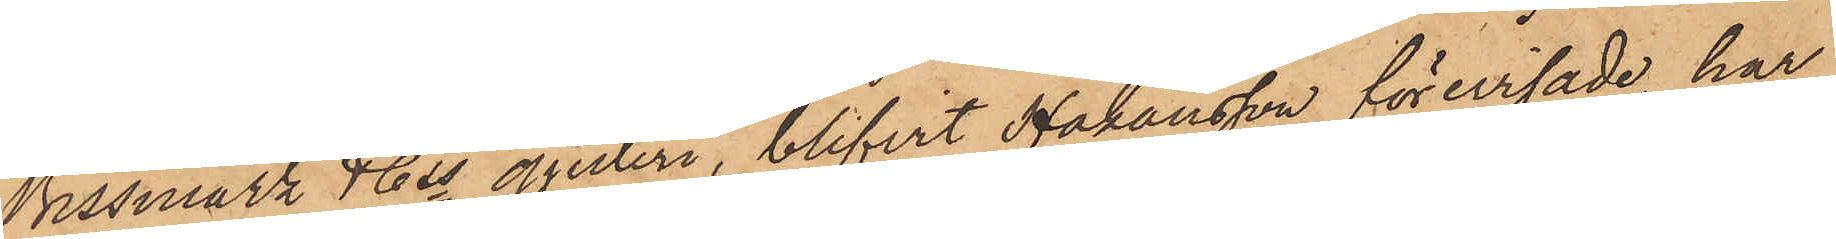Bissmark & Cos gjuteri, blifvit Håkansson förevisade, har
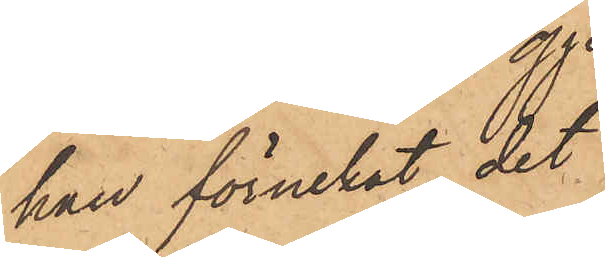han förnekat det
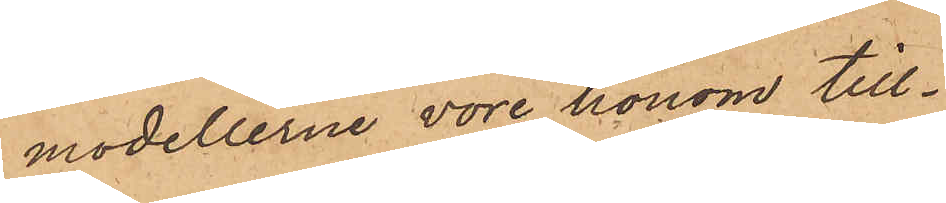modellerna vore honom till¬
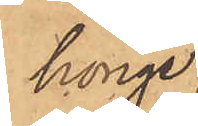hörige,
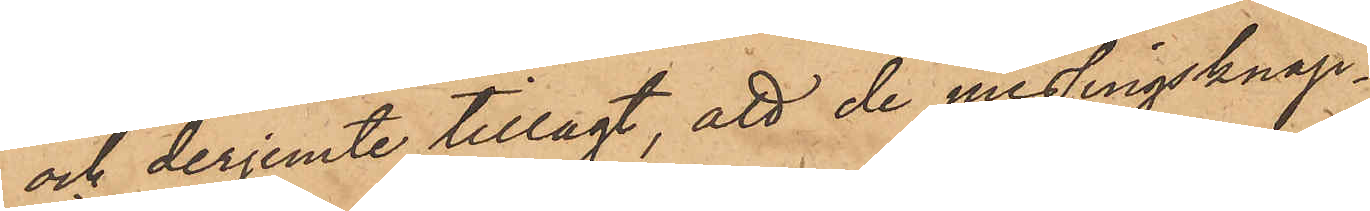och derjemte tillagt, att de messingsknap¬
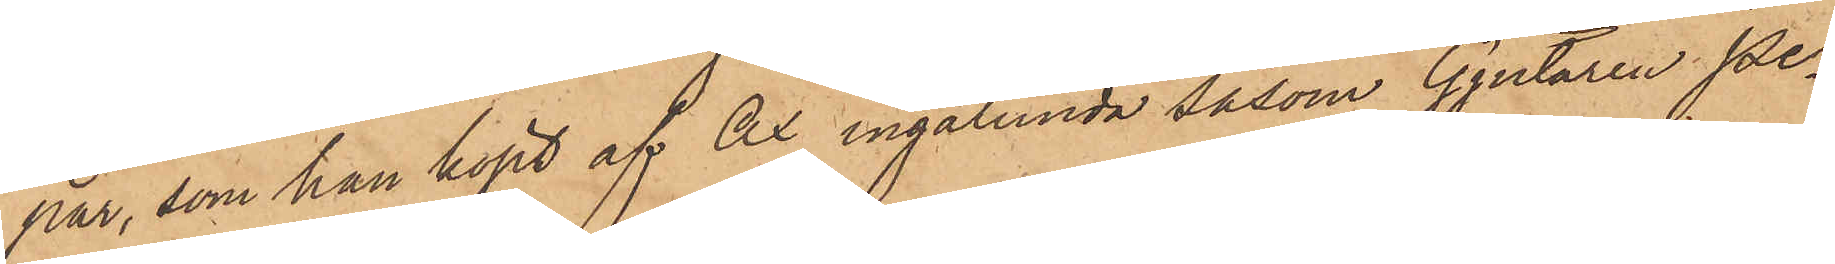par, som han köpt af Ax ingalunda såsom Gjutaren Pe¬
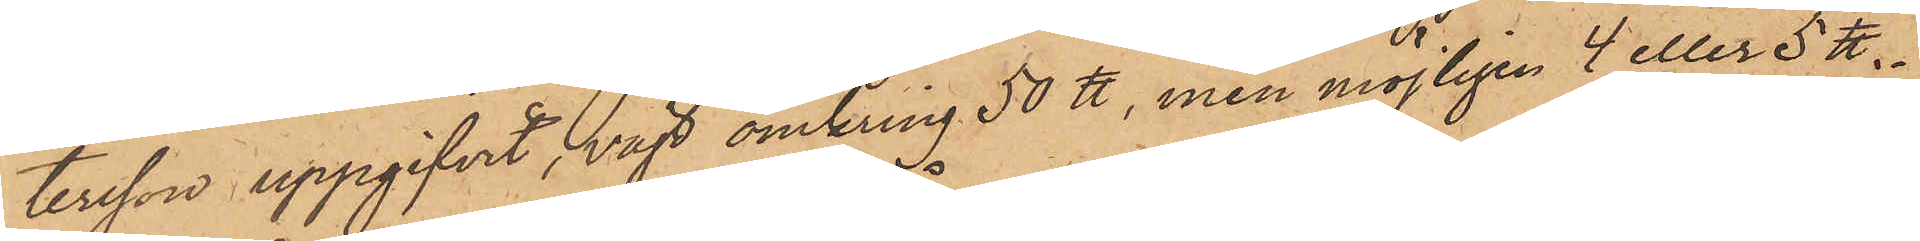tersson uppgifvit, vägt omkring 50 ℔, men möjligen 4 eller 5 ℔.
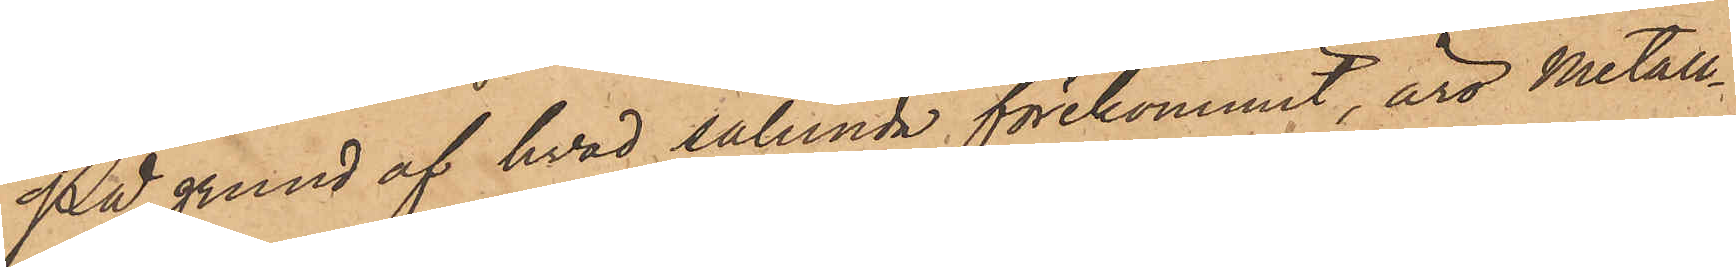På grund af hvad sålunda förekommit, äro metall¬
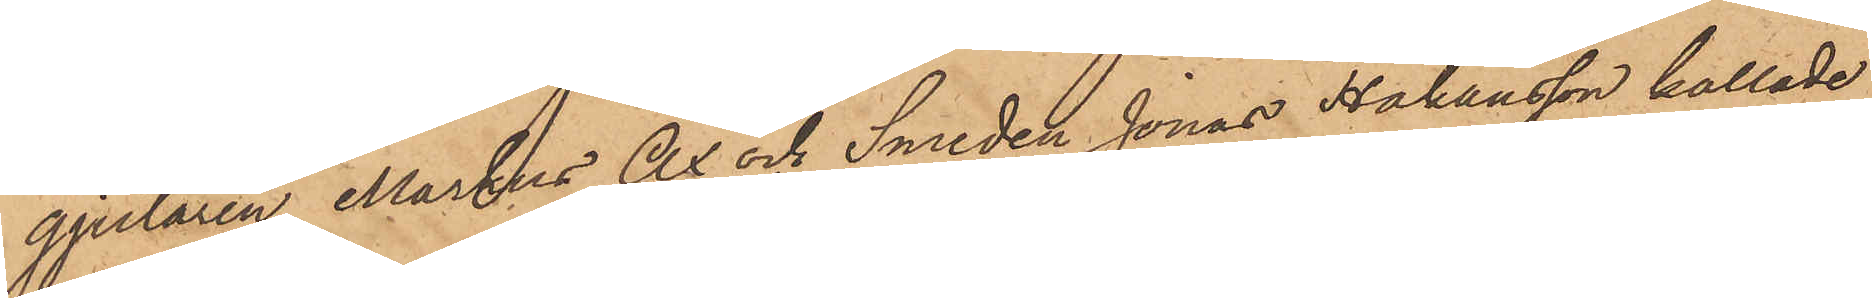gjutaren Markus Ax och Smeden Jonas Håkansson kallade
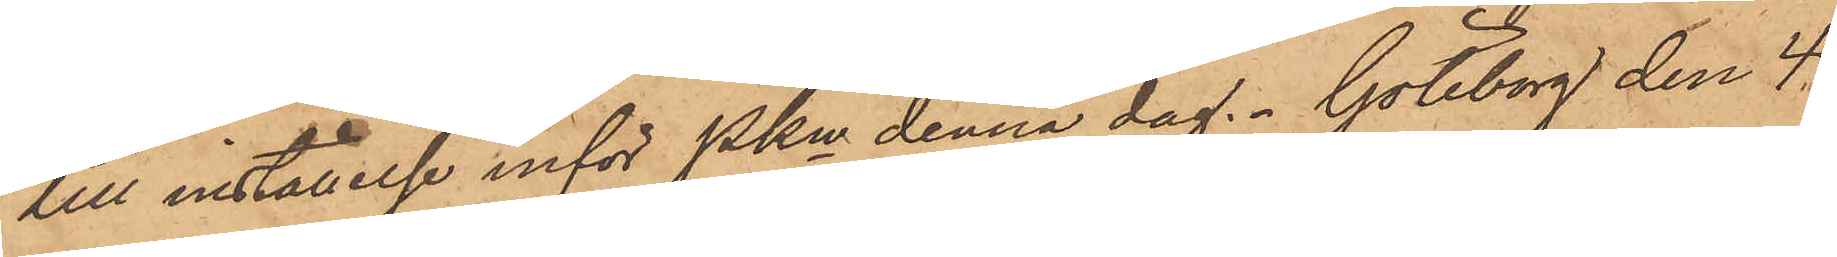till inställelse inför Pkn denna dag. Göteborg den 4
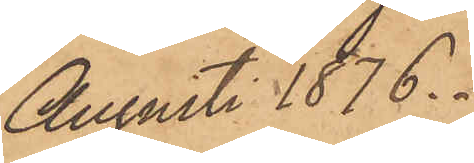Augusti 1876.
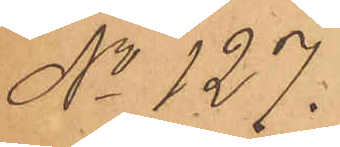No 127.
